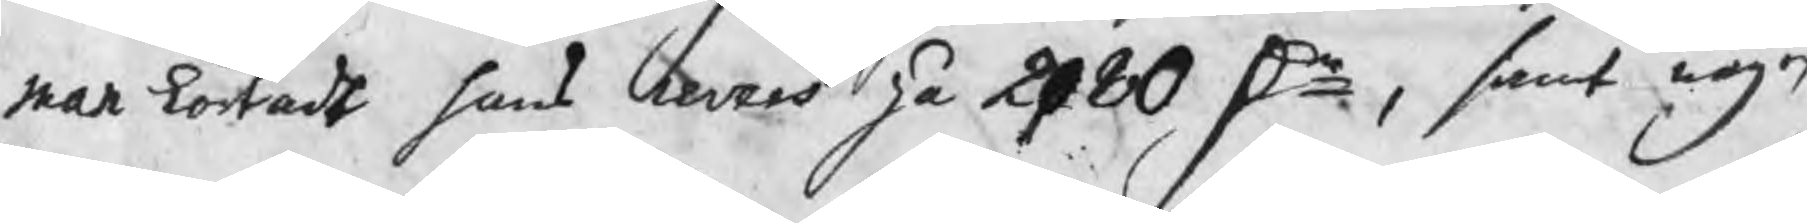man kortadt hans revers på 2080 Dr, samt någon
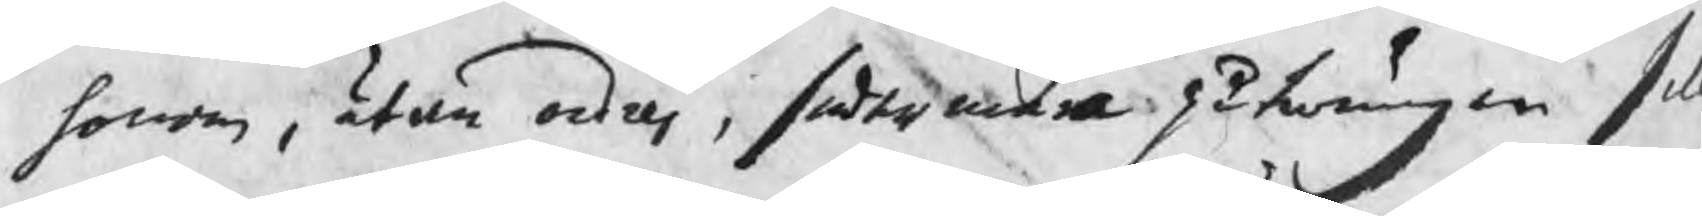honom, utan ordres, sedermera påtwungen sill
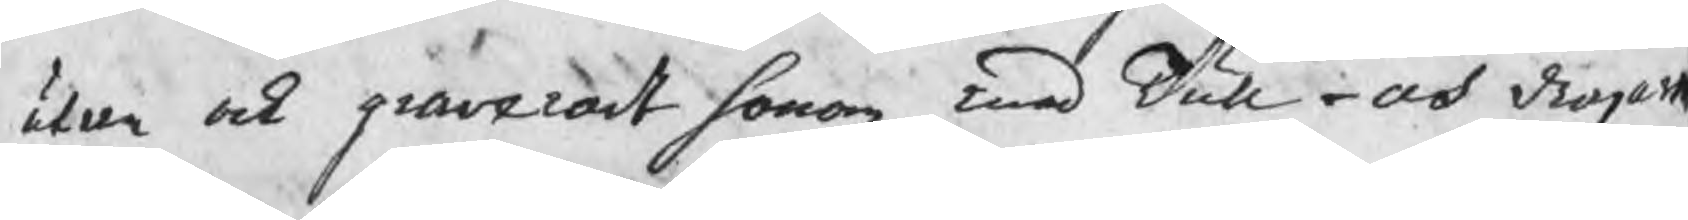utan ock graverat honom med Tull- och dragar
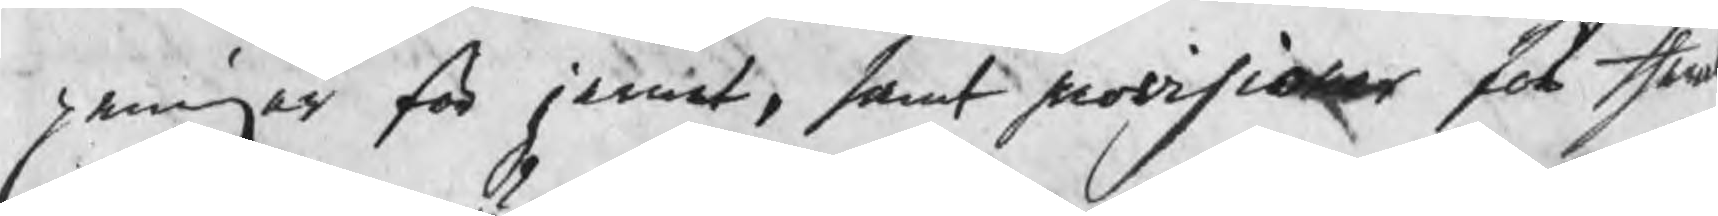peningar för jernet, samt provisioner för theras
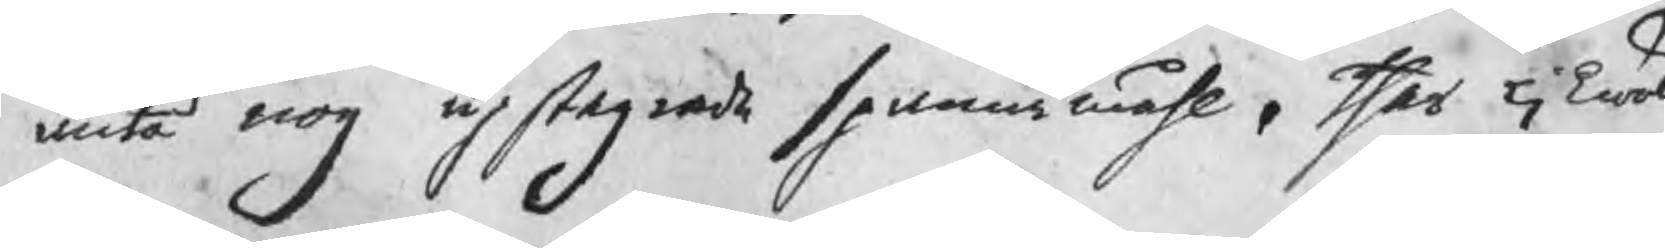äntå nog upstegrade spannmåhl. ther likwäl
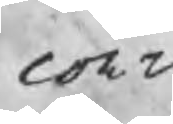cont
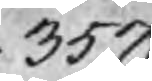357.
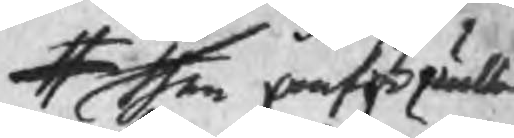# then omförmälte
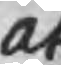At
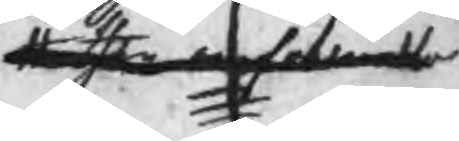# then omfattande
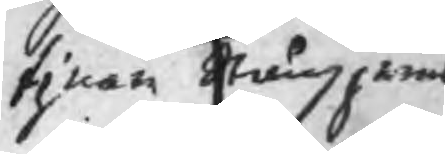finare Stångjerns
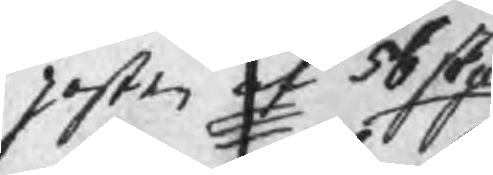posten af 56 skpd
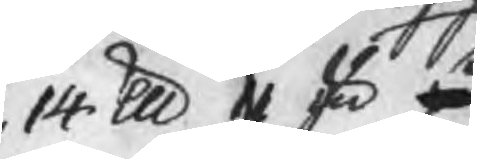14 lu 11 su på
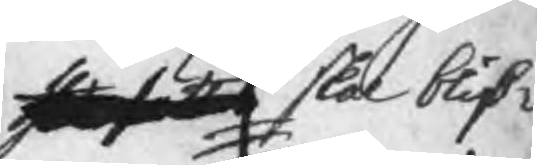ther sätter skal blif¬
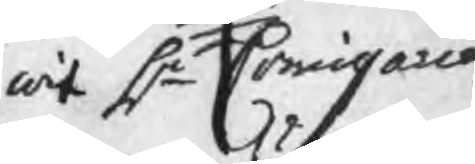wit Hr Comissarien
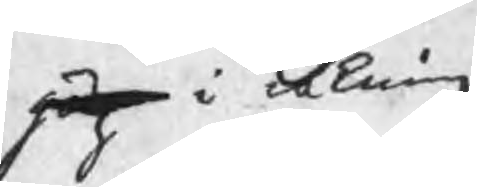hög i räkning
